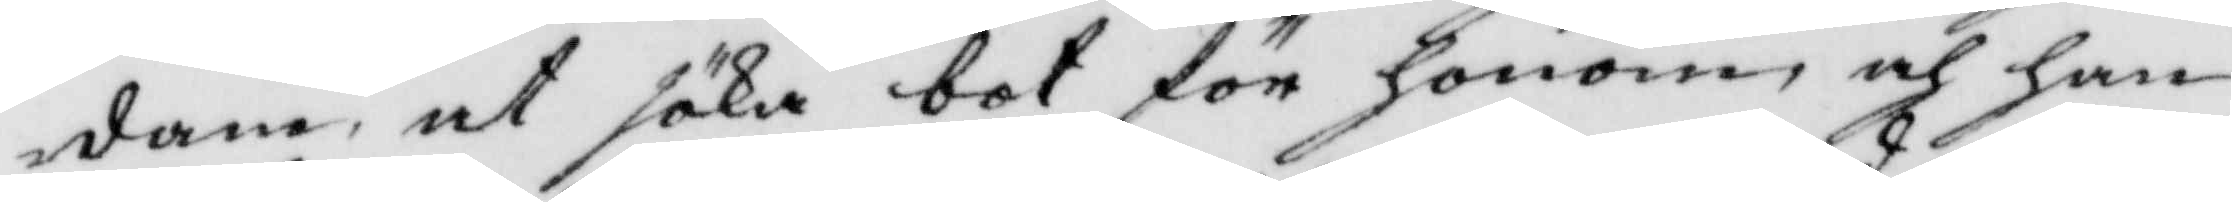dane at söka bot för honom och han
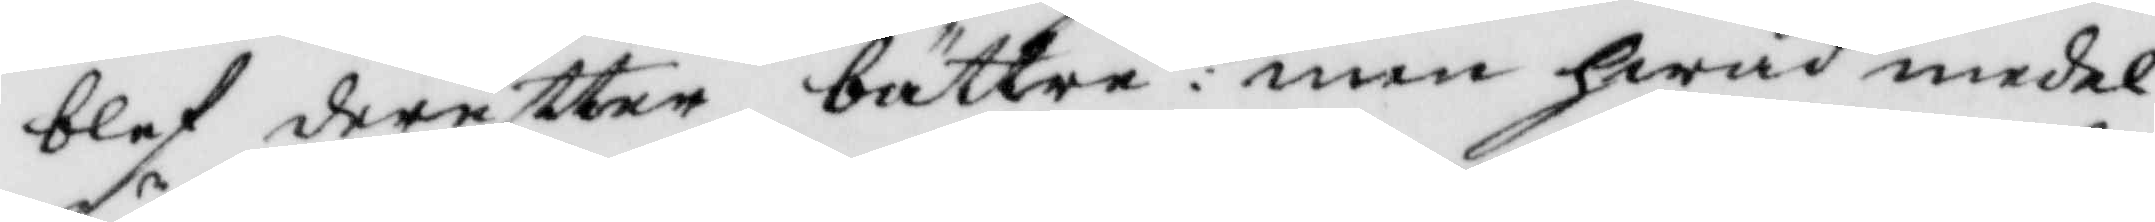blef dereftter bättre: men hwad medel
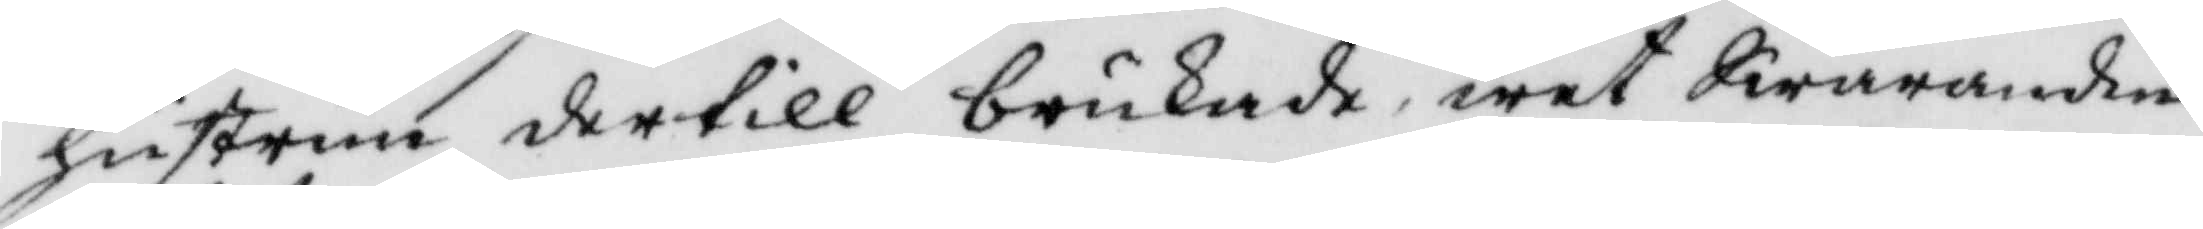hustrun dertill brukade, wet Swaranden
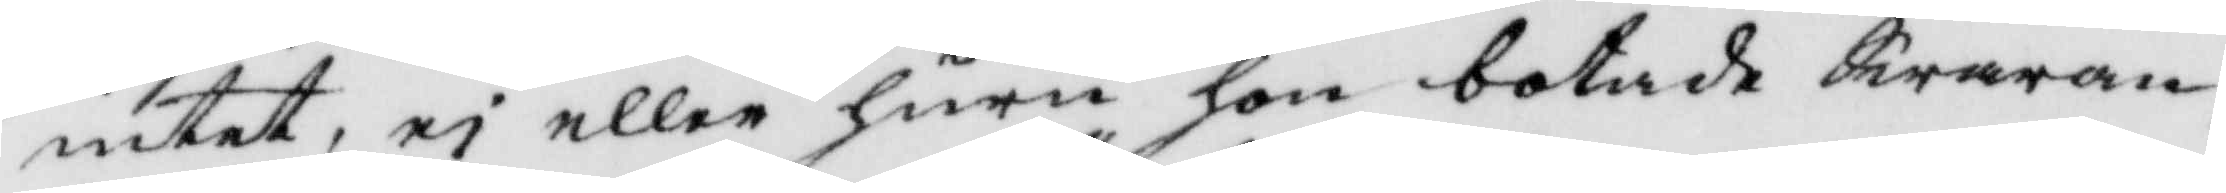intet, ei eller huru hon botade Swaran¬
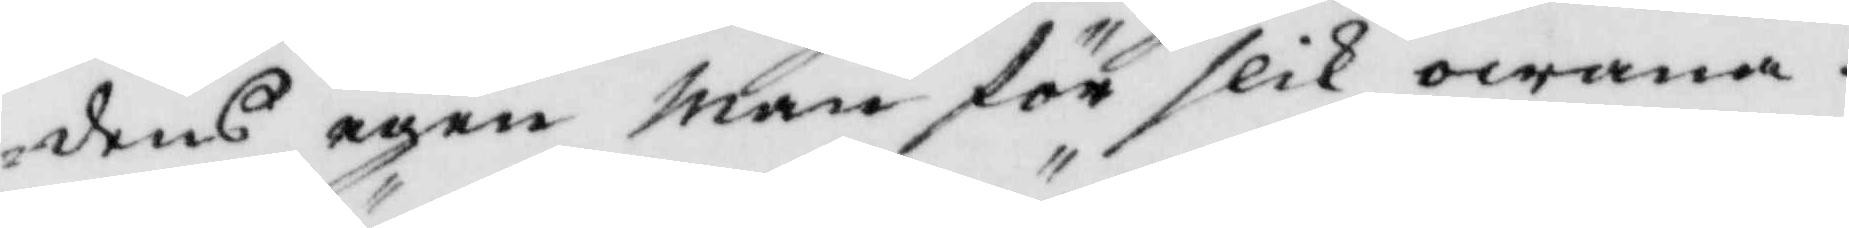dens egen man för slik owana.
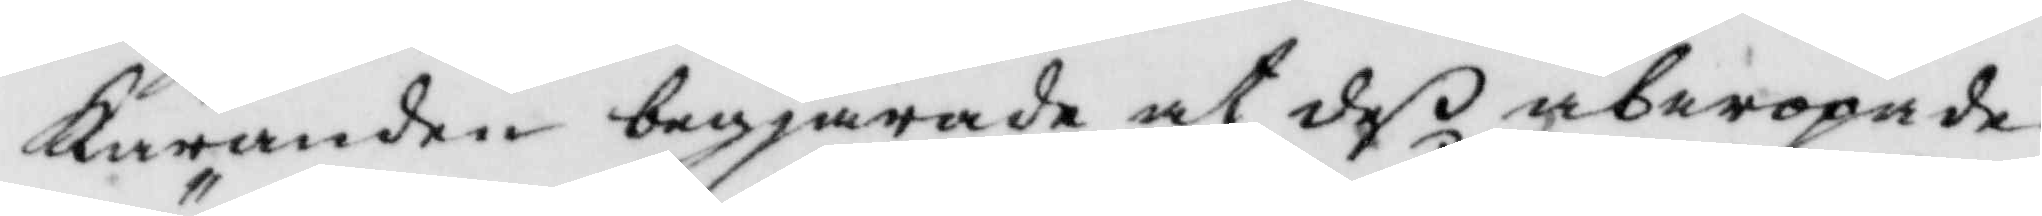Käranden begjärde at deß åberopade
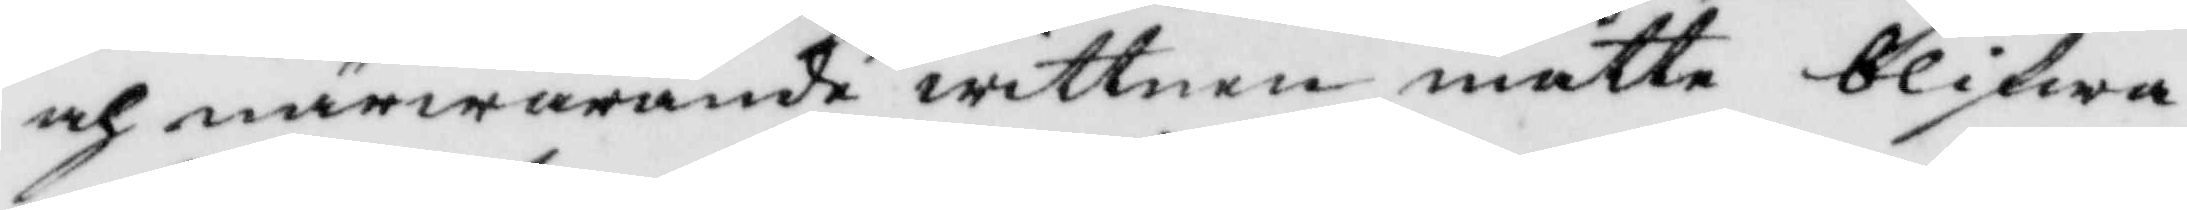och närwarande witnen måtte blifwa
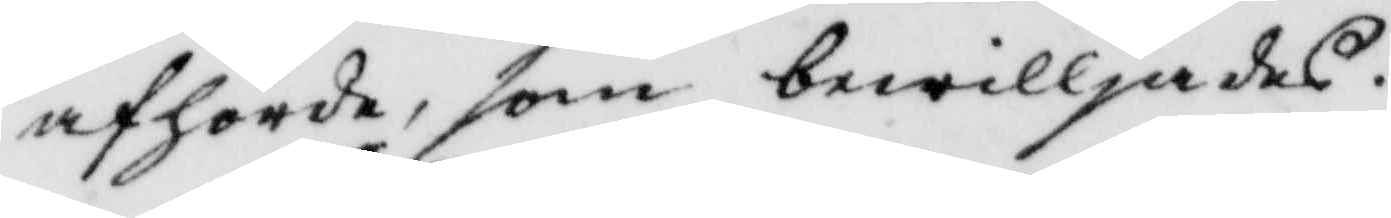afhörde, som bewilljades.
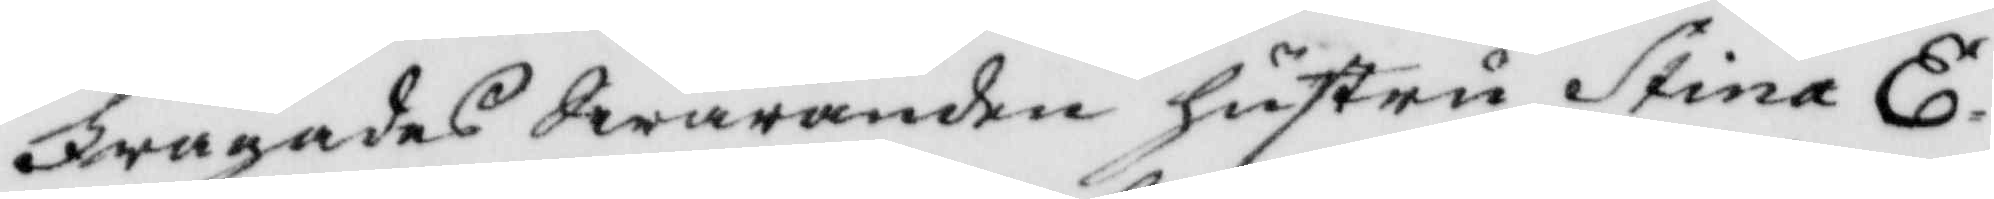Frågades Swaranden hustru Stina E¬
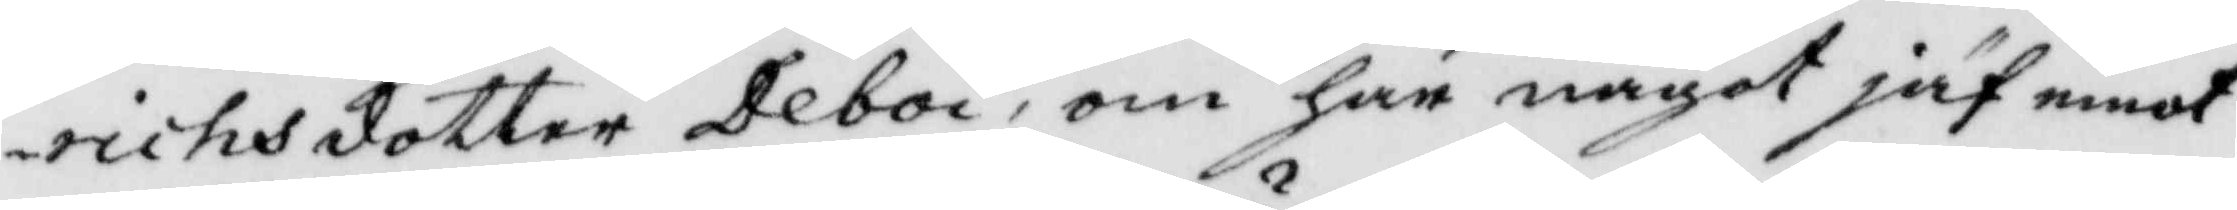richsdotter Deboi, om har något jäv emot
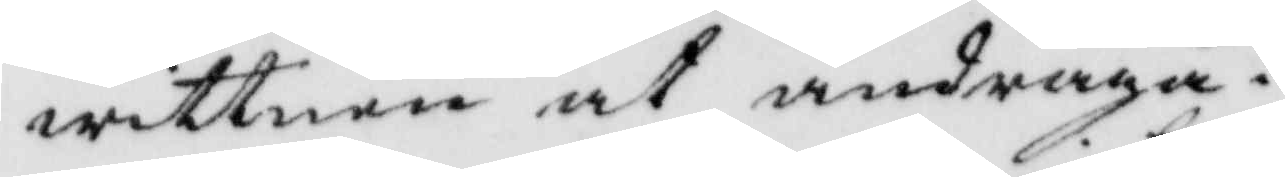witten at andraga?
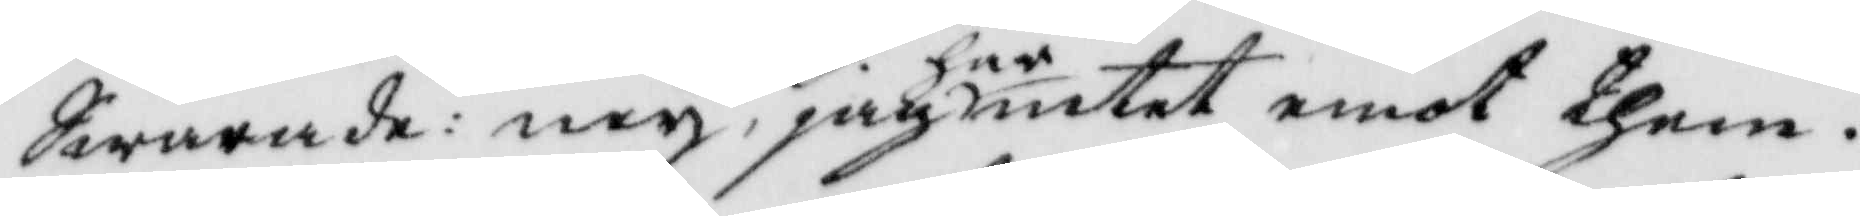Swarande: ney, jag har intet emot them.
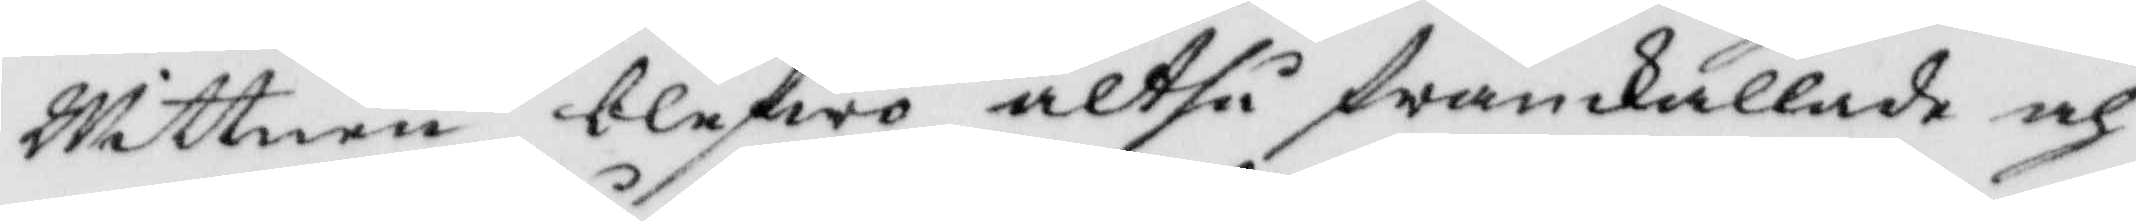Wittnen blefwo altså framkallade och
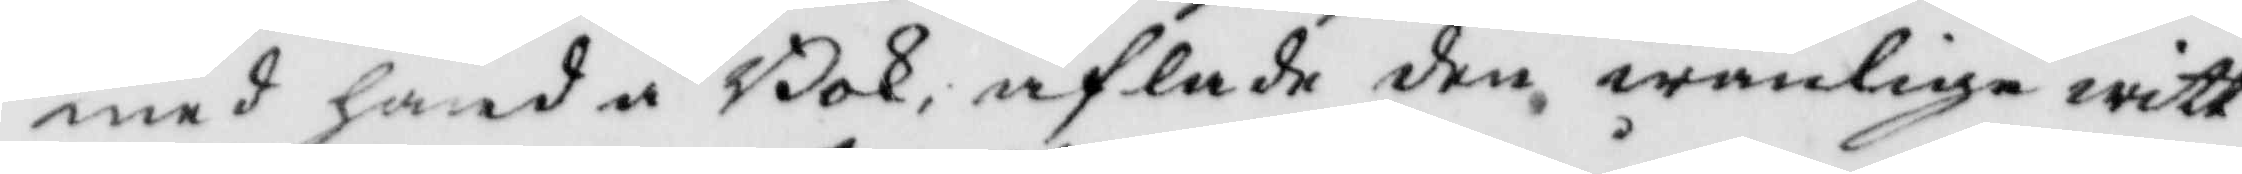med hand å Bok, aflade den wanlige witt¬
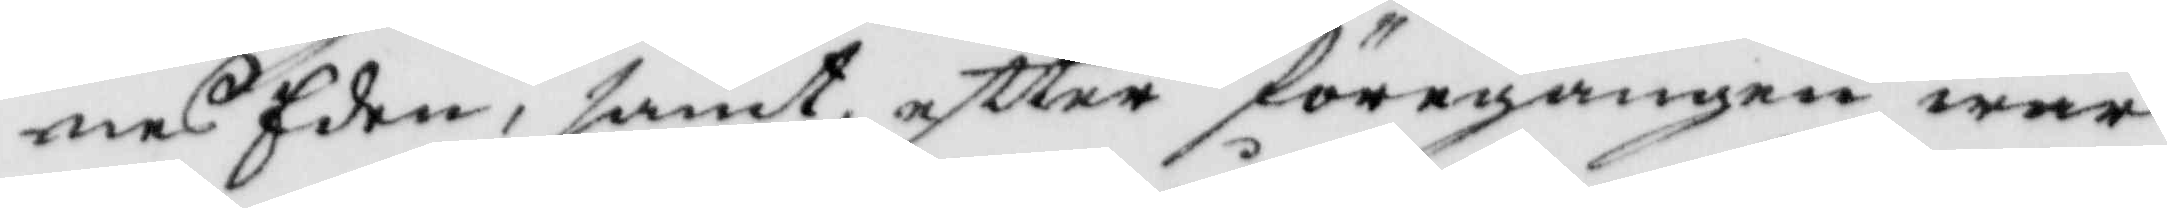nes eden, samt, eftter föregången war¬
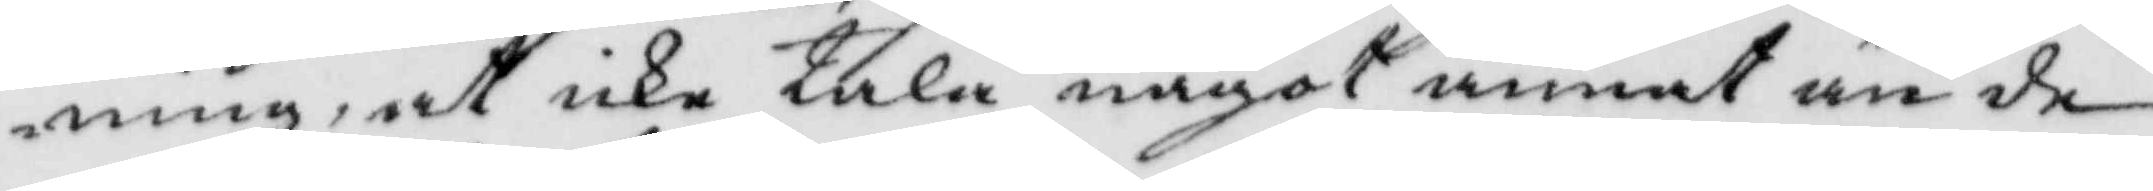ning, at icke tala något annat än de
